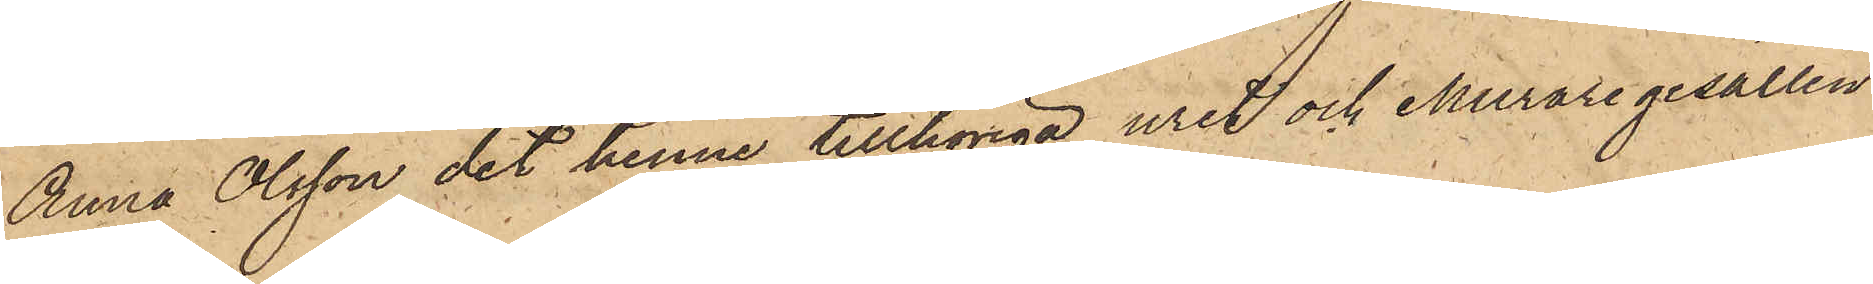Anna Olsson det henne tillhöriga uret och Muraregesällen
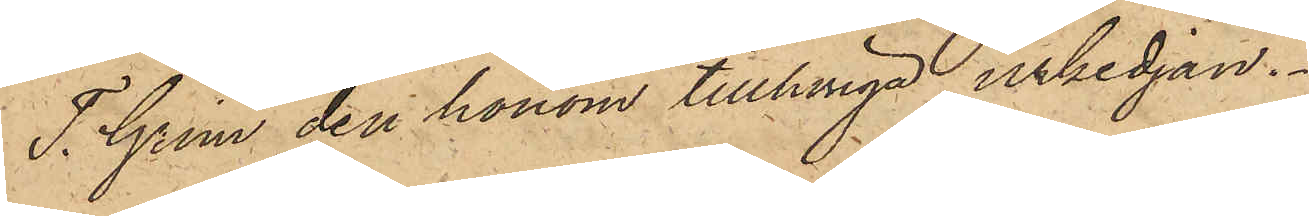T. Grim den honom tillhöriga urkedjan.
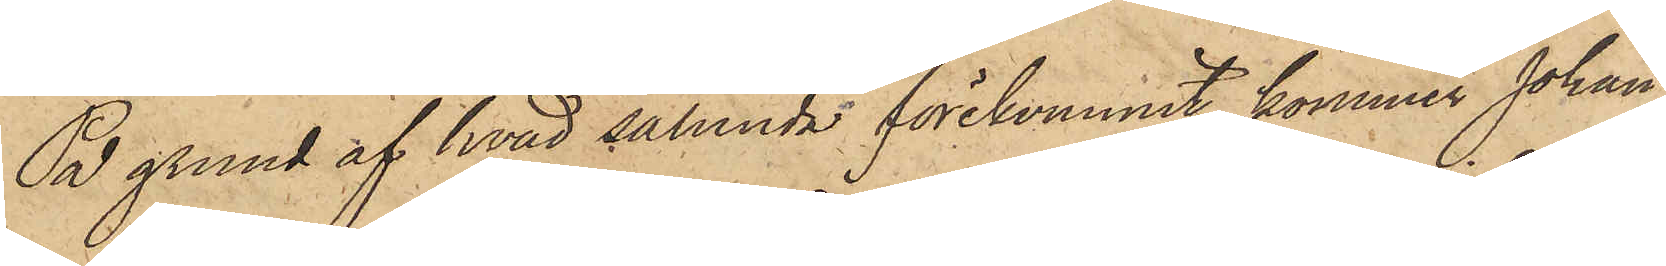På grund af hvad sålunda förekommit, kommer Johan
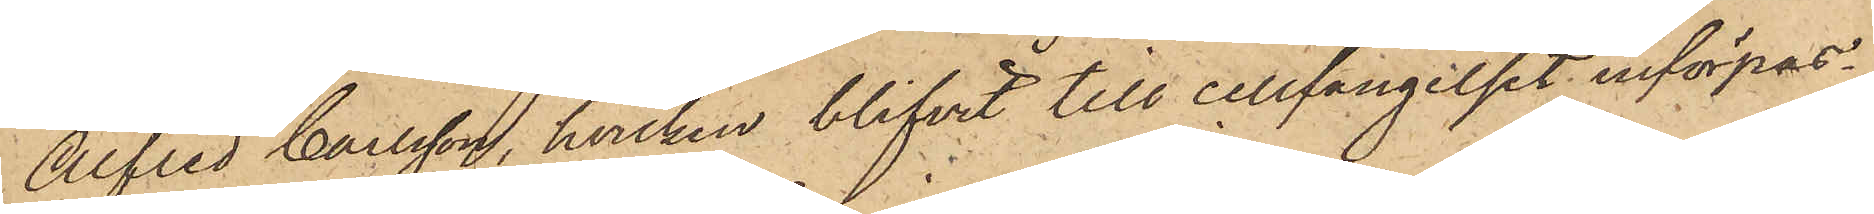Alfred Carlsson, hvilken blifvit till cellfängelset införpas¬
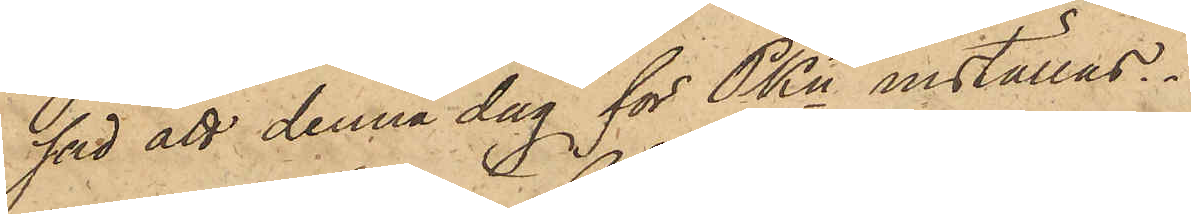sad att denna dag för PKn inställas.
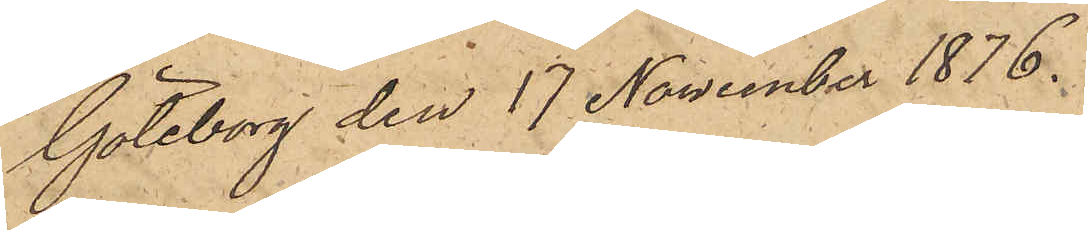Göteborg den 17 November 1876.
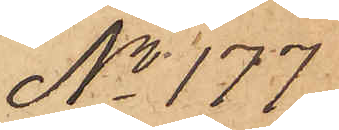No 177
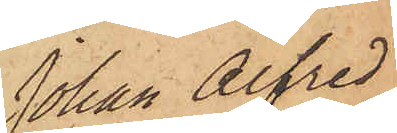Johan Alfred
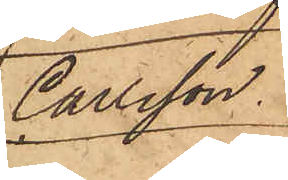Carlsson
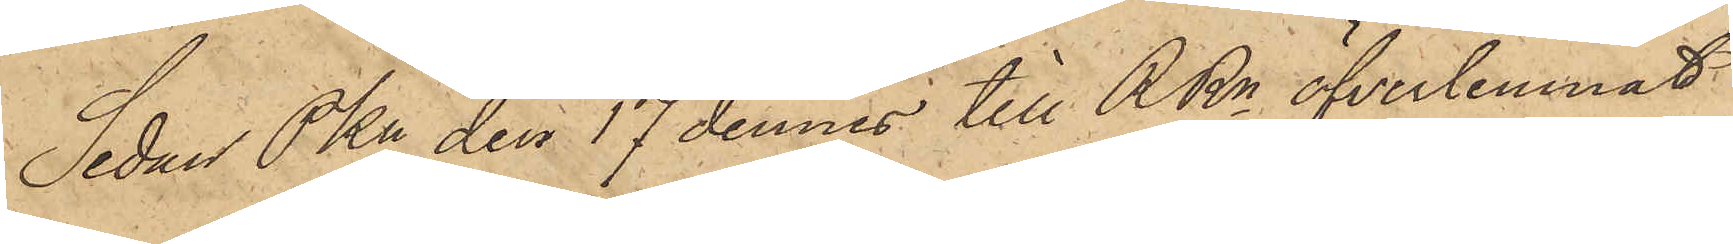Sedan Pkn den 17 dennes till RRn öfverlemnat
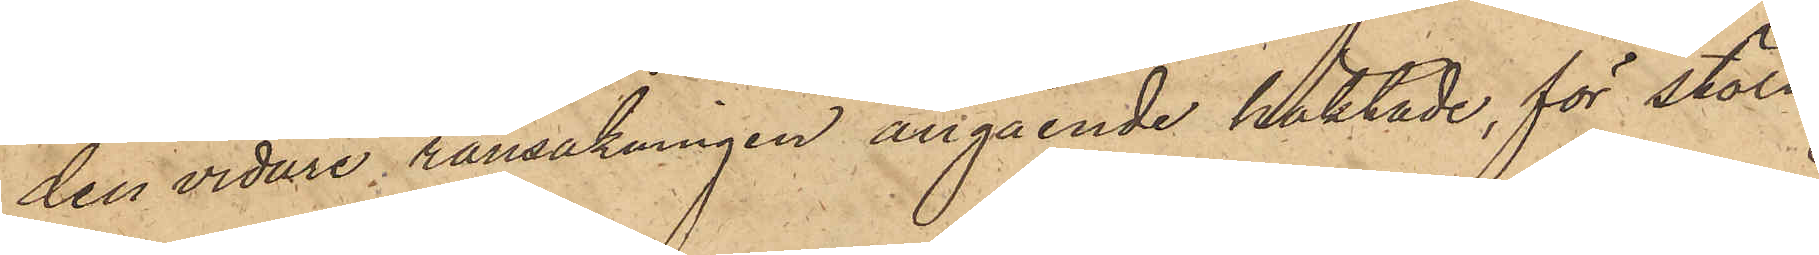den vidare ransakningen angående häktade, för stöld
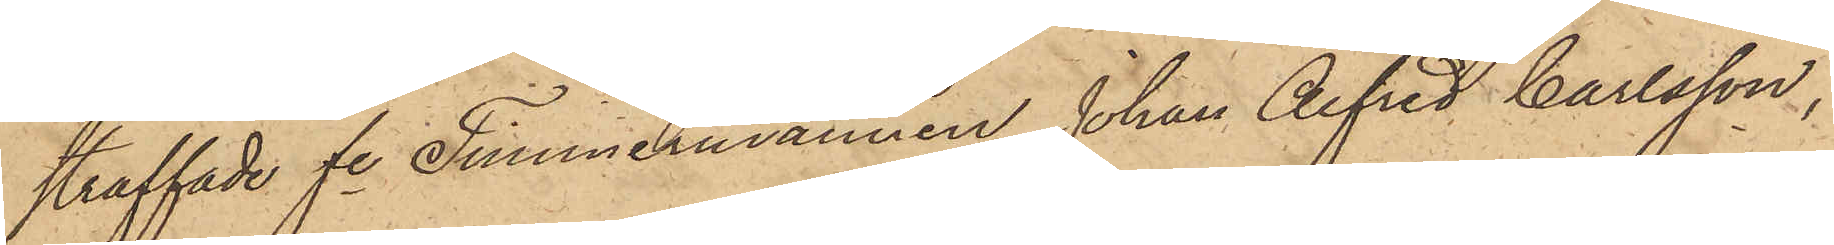straffade fre Timmermannen Johan Alfred Carlsson,
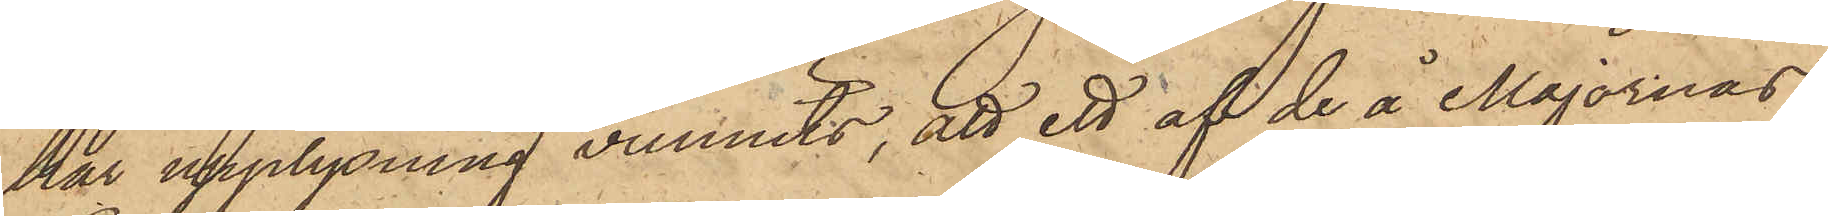har upplysning vunnits, att ett af de å Majornas
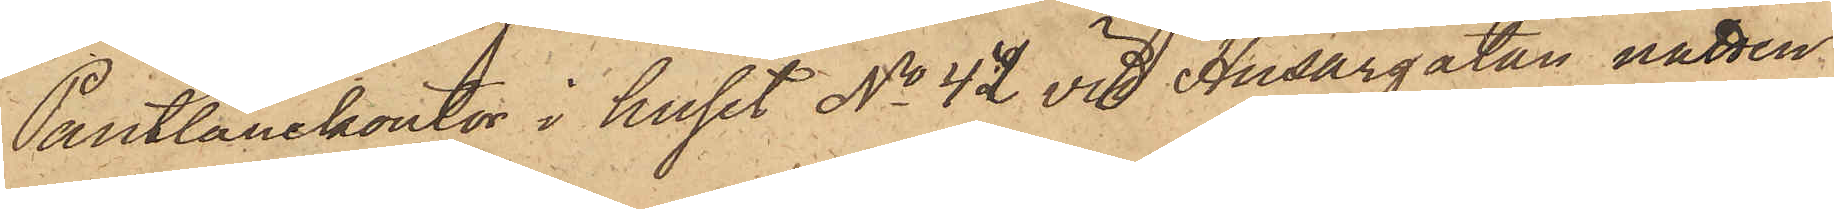Pantlånekontor i huset No 42 vid Husargatan natten
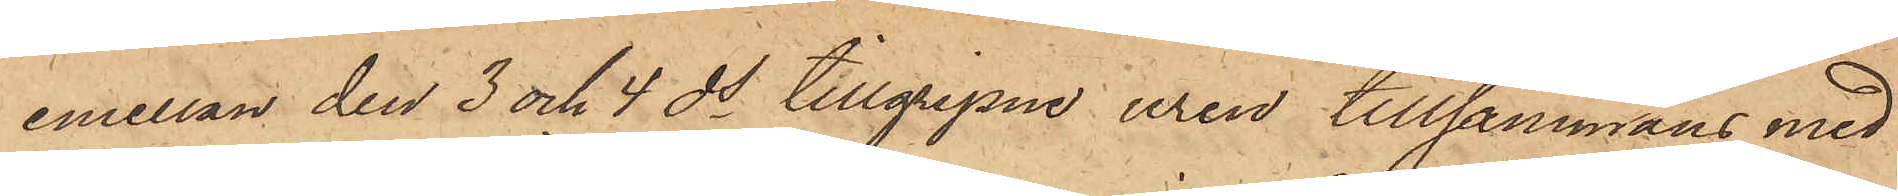emellan den 3 och 4 ds tillgripne uren tillsammans med
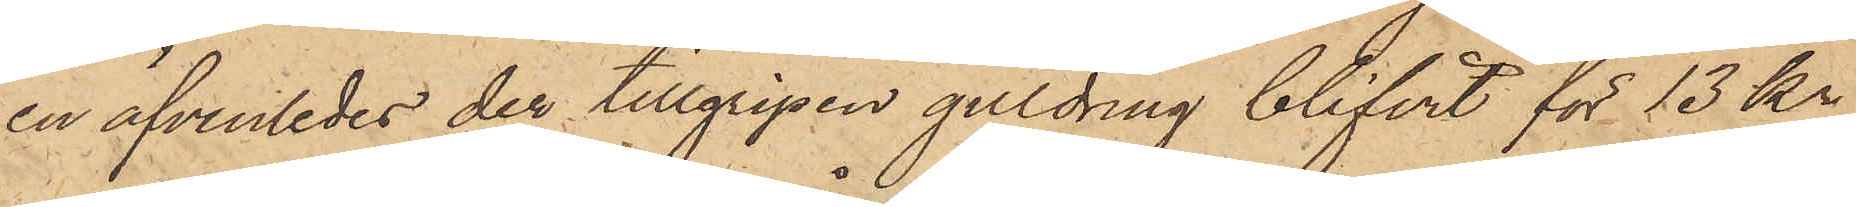en äfvenledes der tillgripen guldring blifvit för 13 kr
